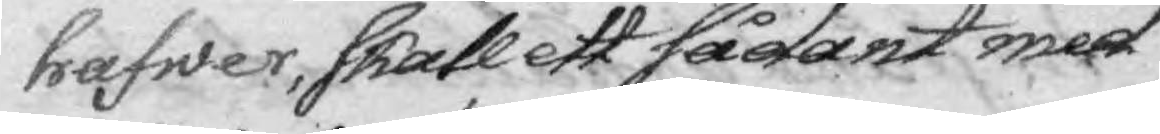hafwer, skall ett sådant med
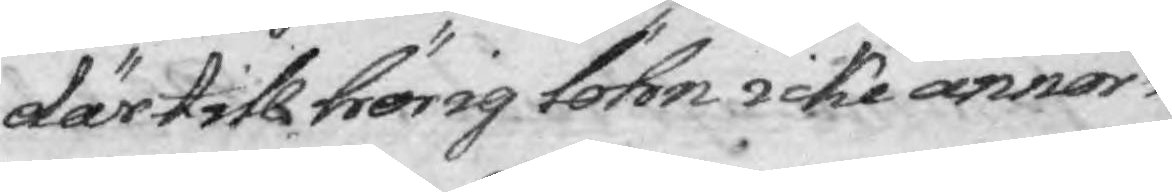därtill hörig löhn icke annor¬
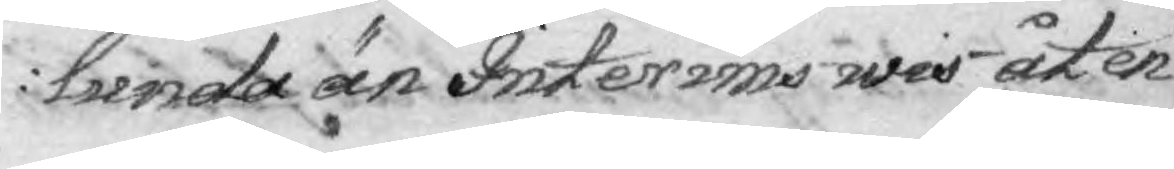lunda än Interims wis åter
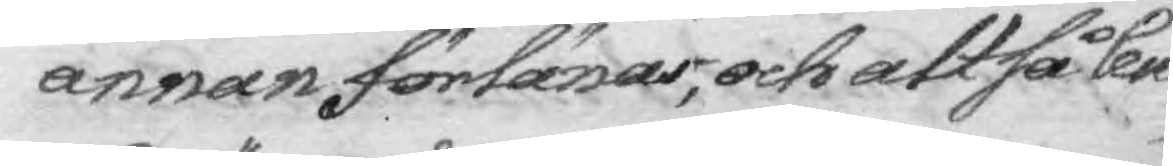annan förlänas, och altså Cen¬
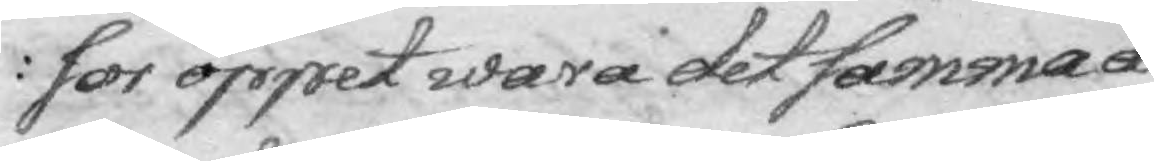sor öppet wara det samma å¬
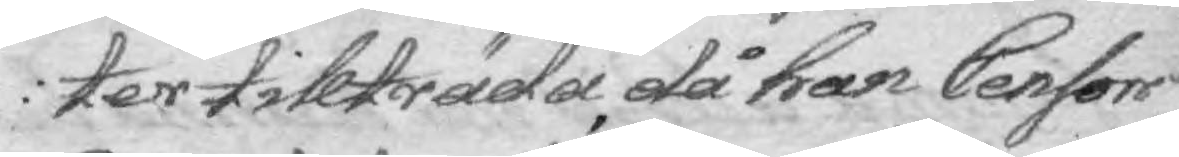ter tillträda, då han Censors
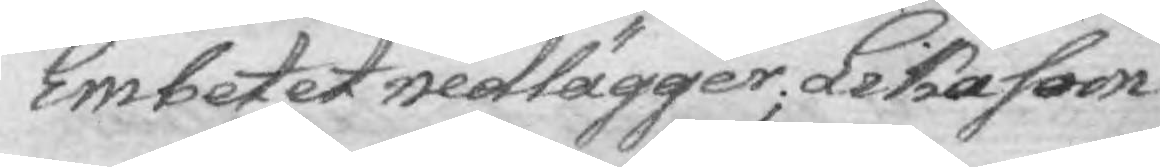Embetet nedlägger; Likasom
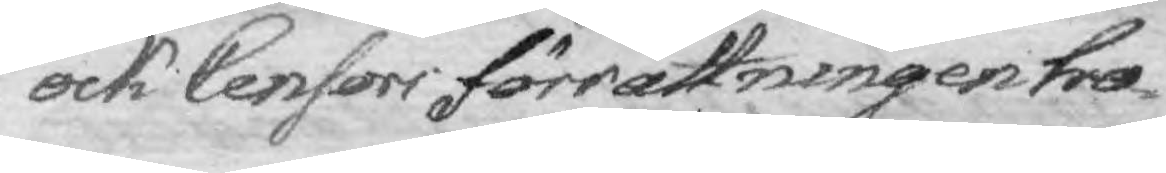ock Censors förrättningen ho¬
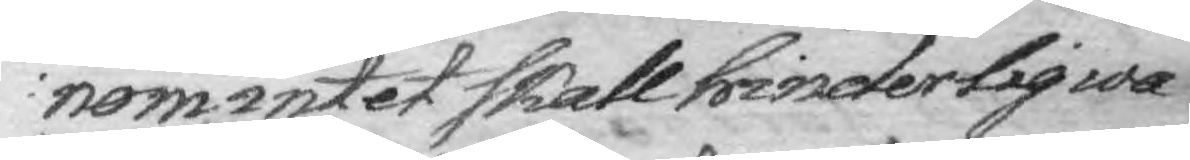nom intet skall hinderlig wa¬
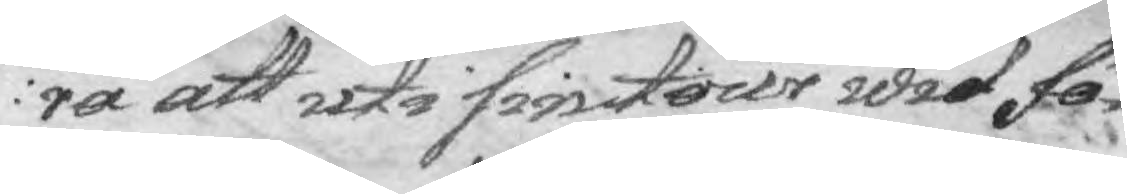ra att uti sin tour wid fö¬
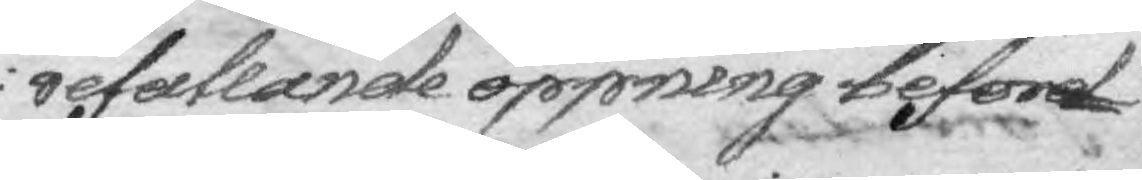refallande öppning befor¬
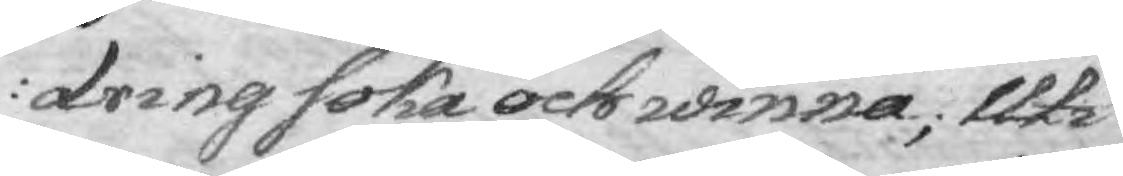dring söka och winna; Uti
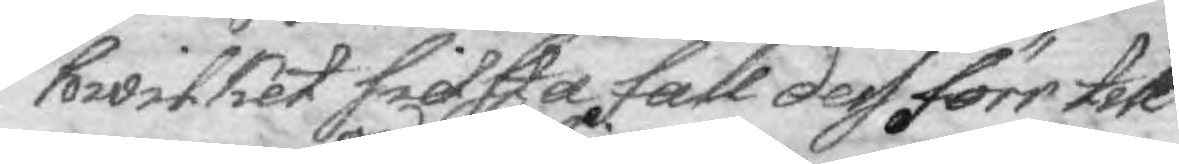hwilket sielfsta fall dess förr till
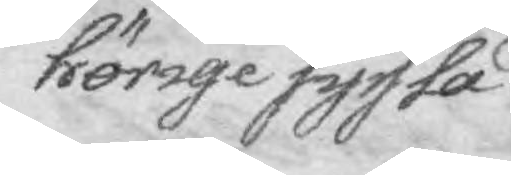hörige syssla
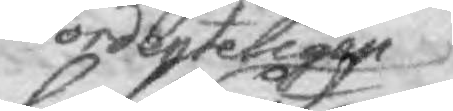ordenteligen
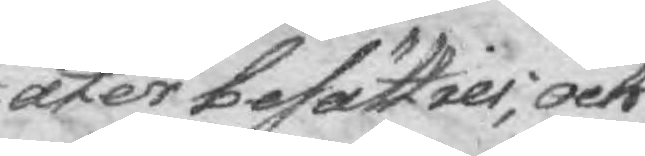åter besätties; och
